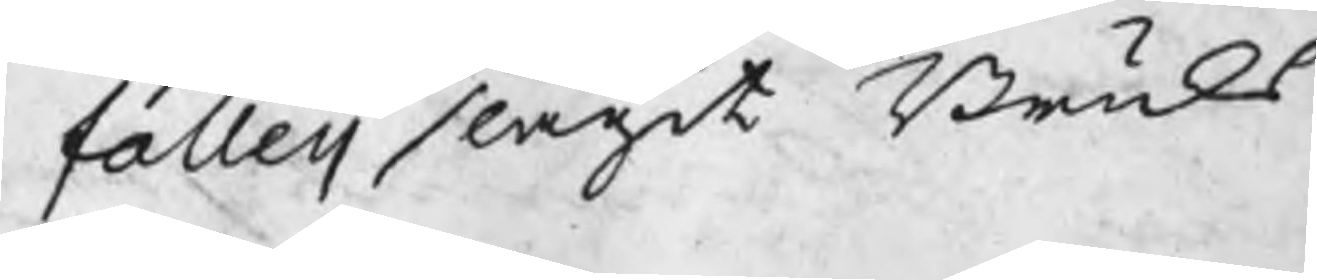falleii slagit Bruks
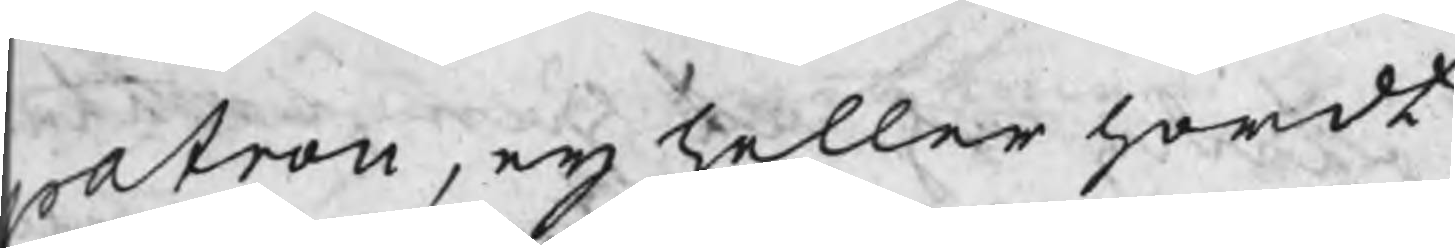atron, eij heller hördt
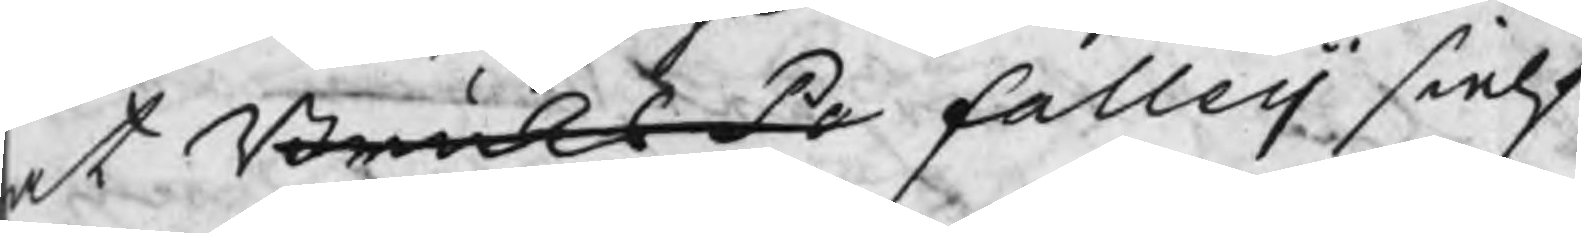at BruksPa falleij sielf
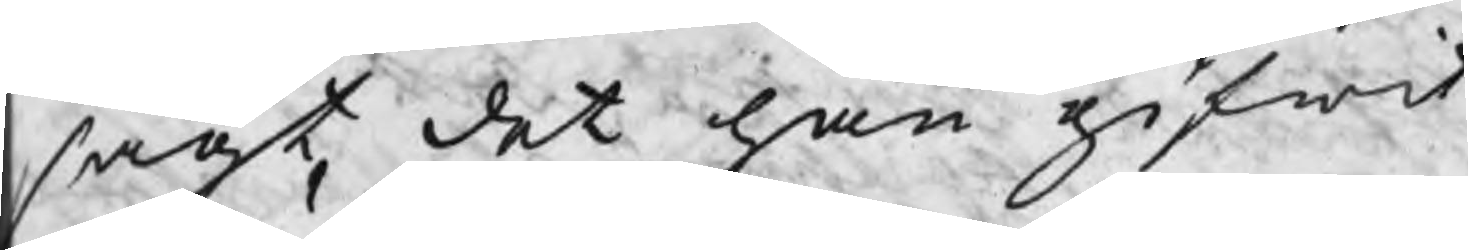sagt, det han gifwit
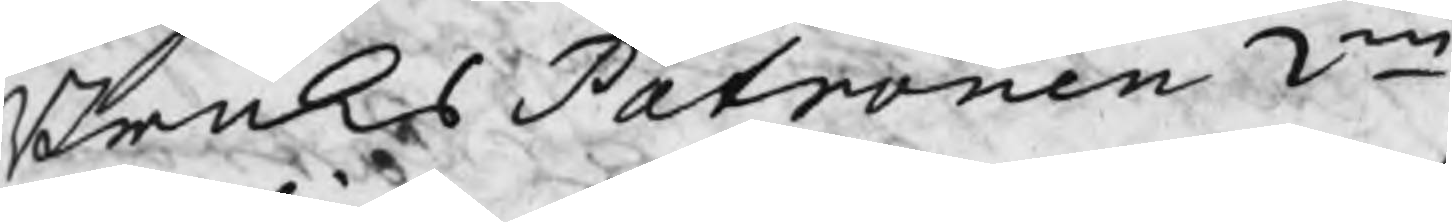BruksPatronen 2ne
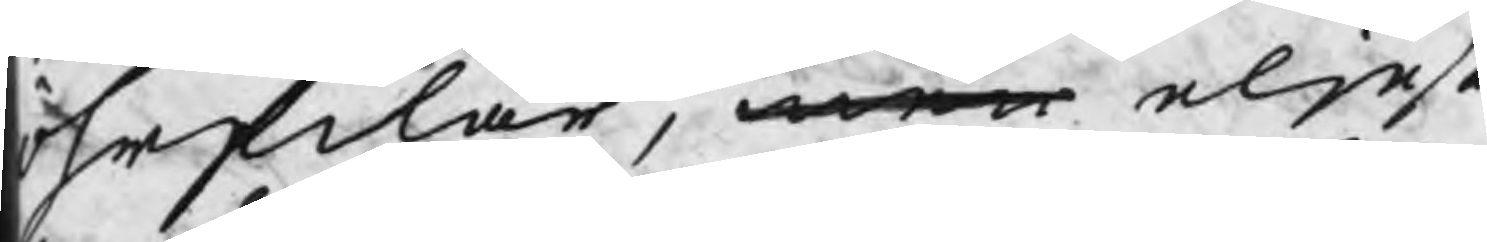öhrfilar, men eljest
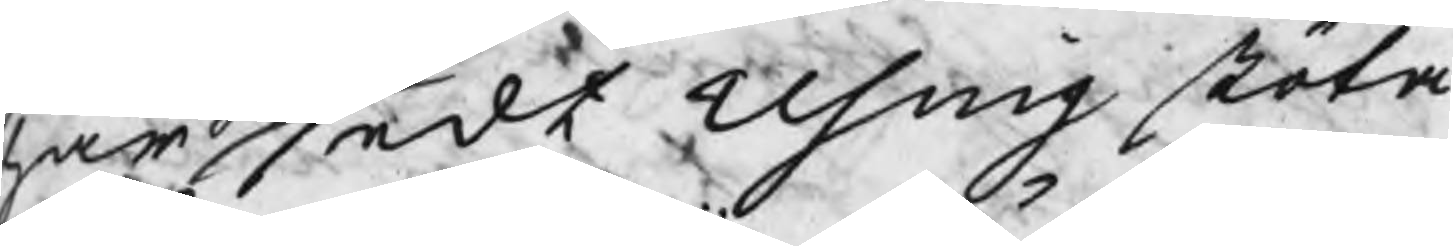har sedt Using stöta
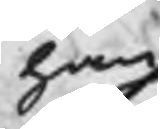han
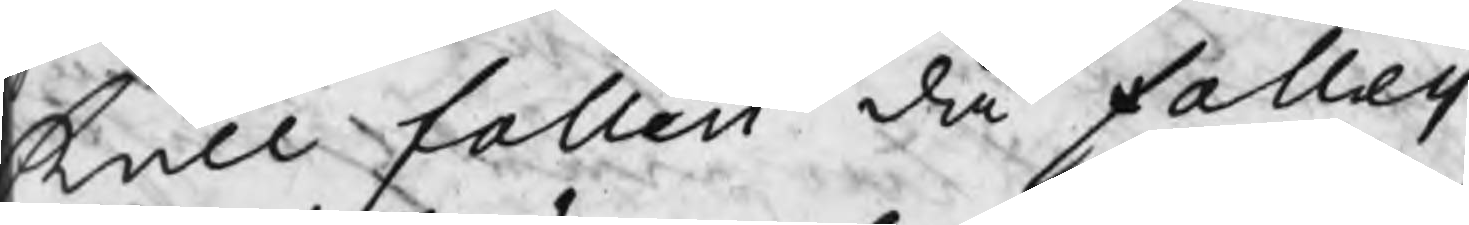kull falleii då falleij
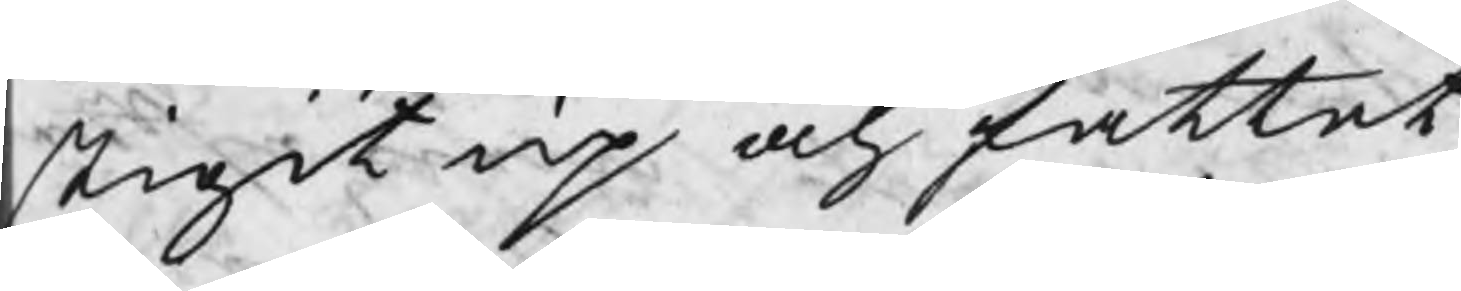stigit up och fattat
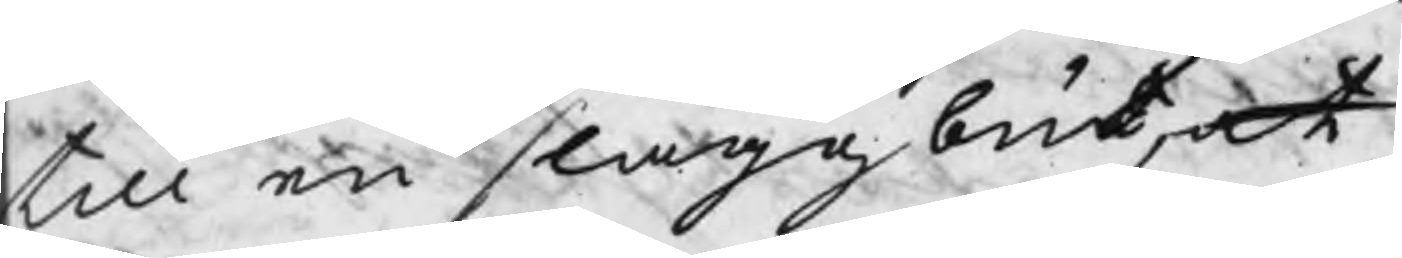till en slaggbut, at
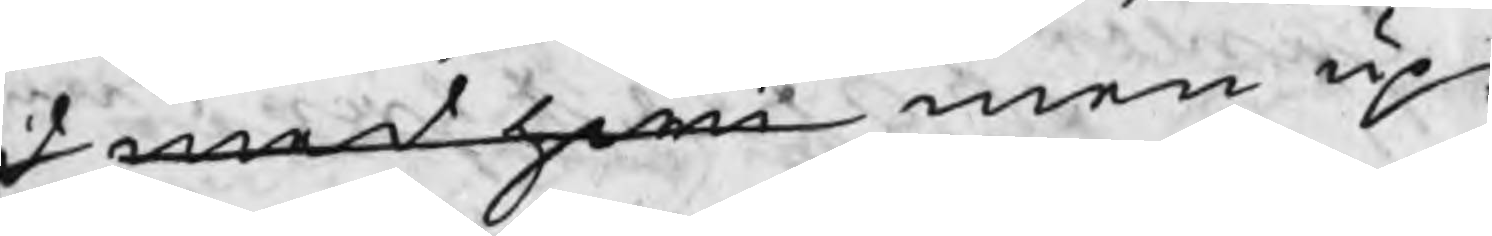d mest hwi men up¬
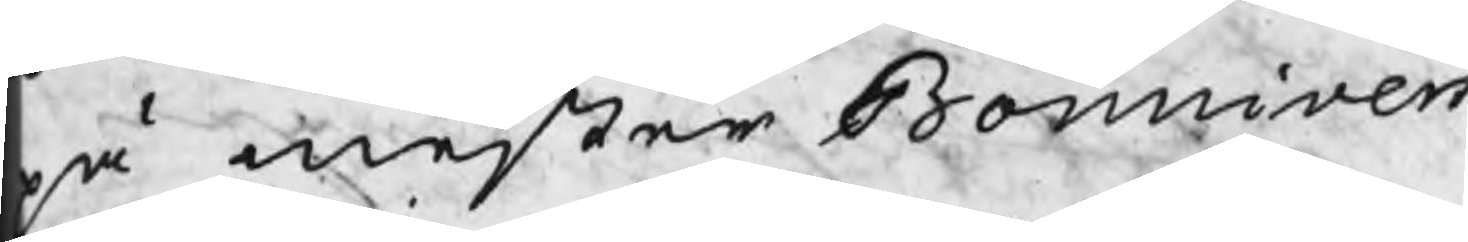på mester Bonnivers
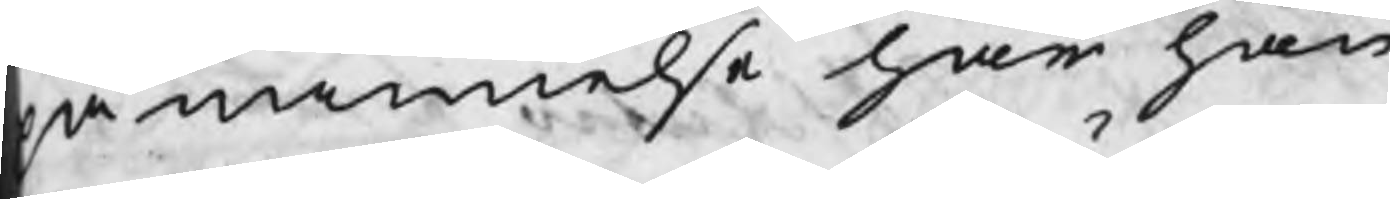påminnelse har han
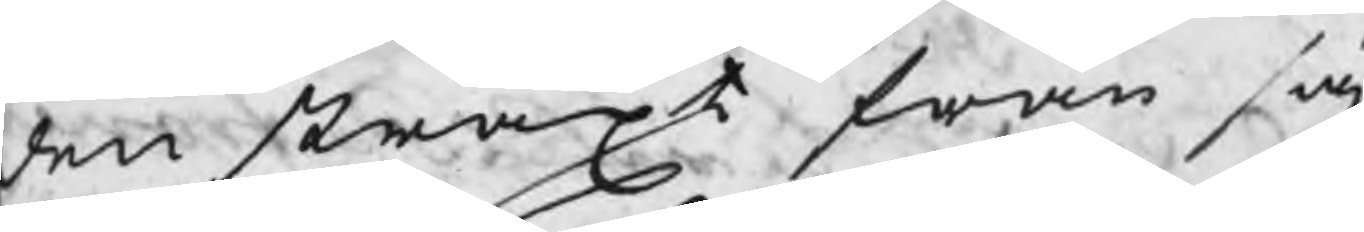den straxt från sig
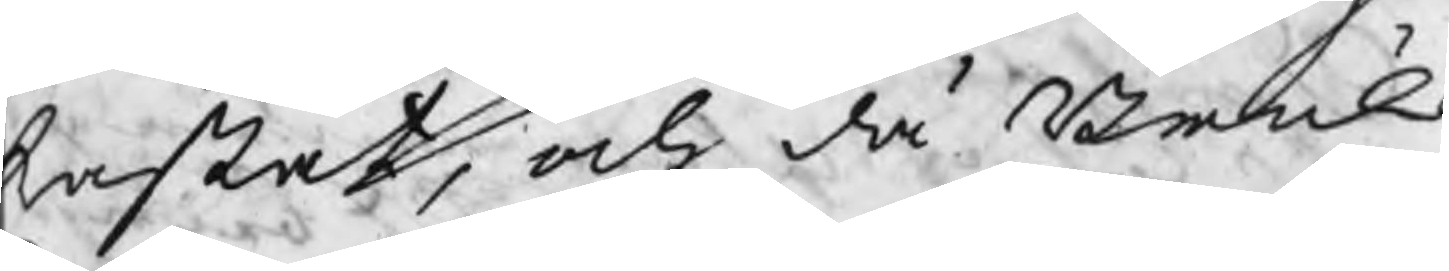kastat, och då Bruks
